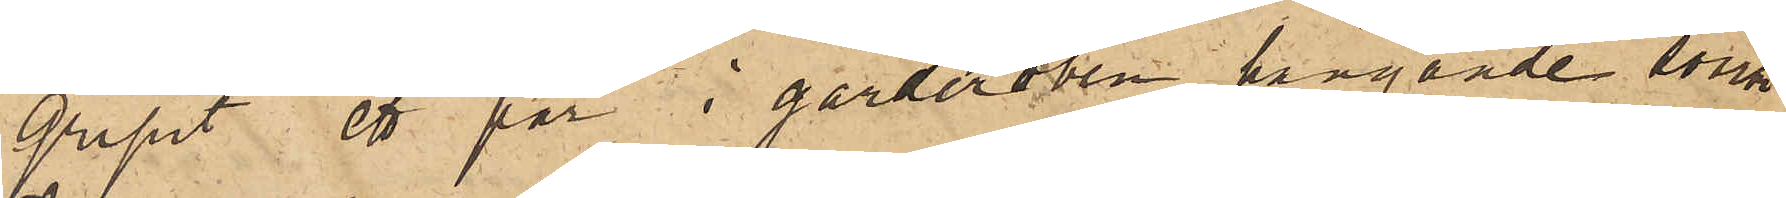gripit ett par i garderoben hängande svarta
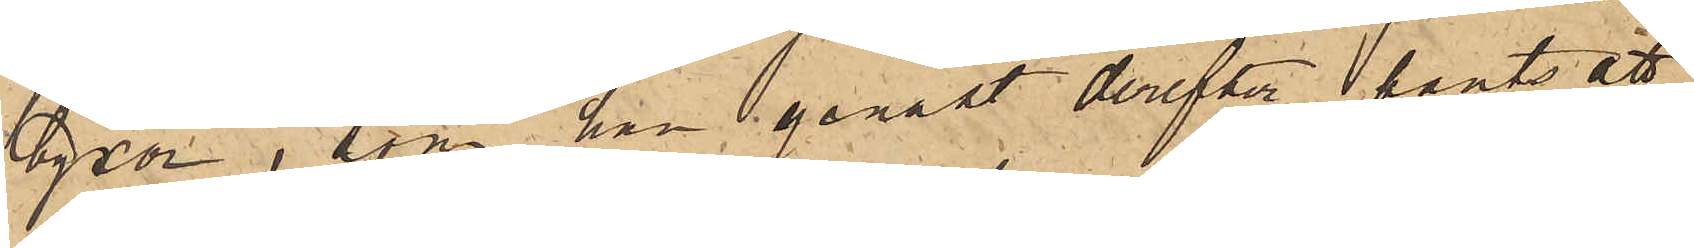byxor, som han genast derefter pantsatt
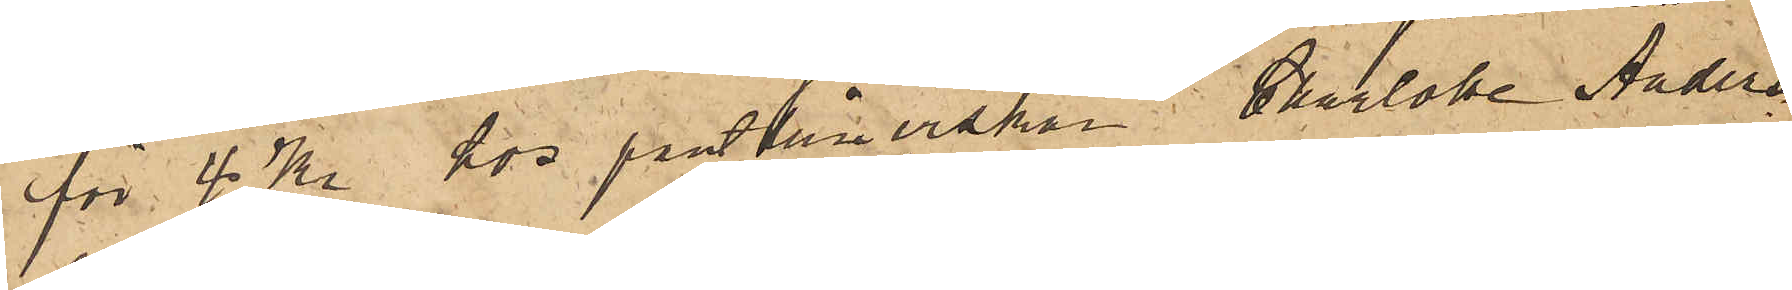för 4 Kr hos pantlånerskan Charlotta Anders¬
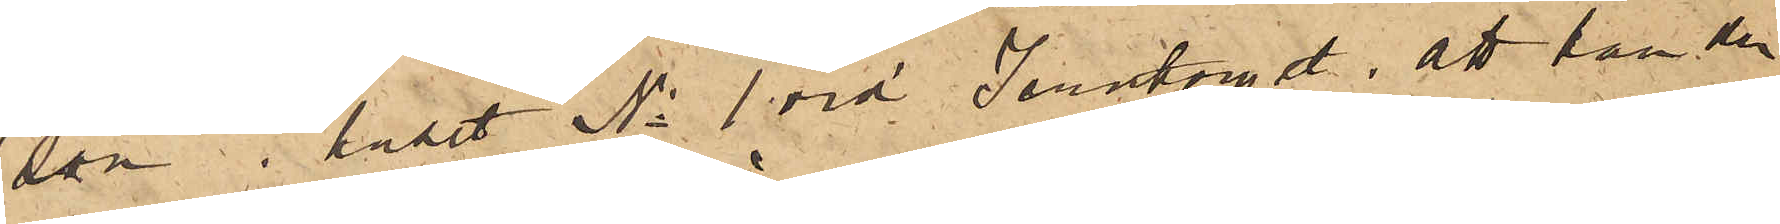son i huset No 1 vid Jerntorget; att han den
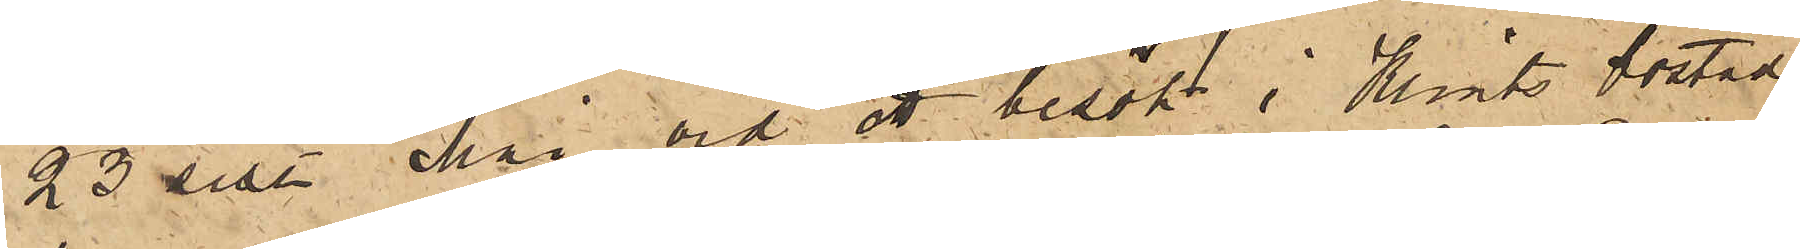23 sist. Mai vid ett besökt i Klints bostad
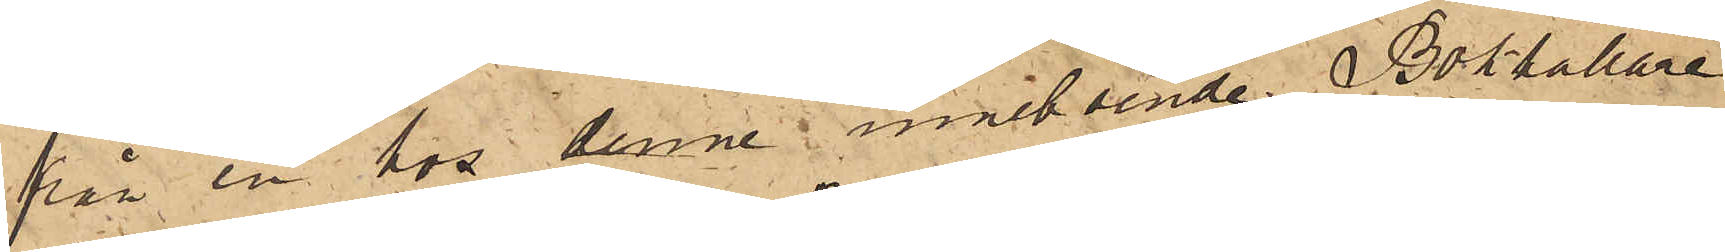från en hos denne inneboende Bokhållare
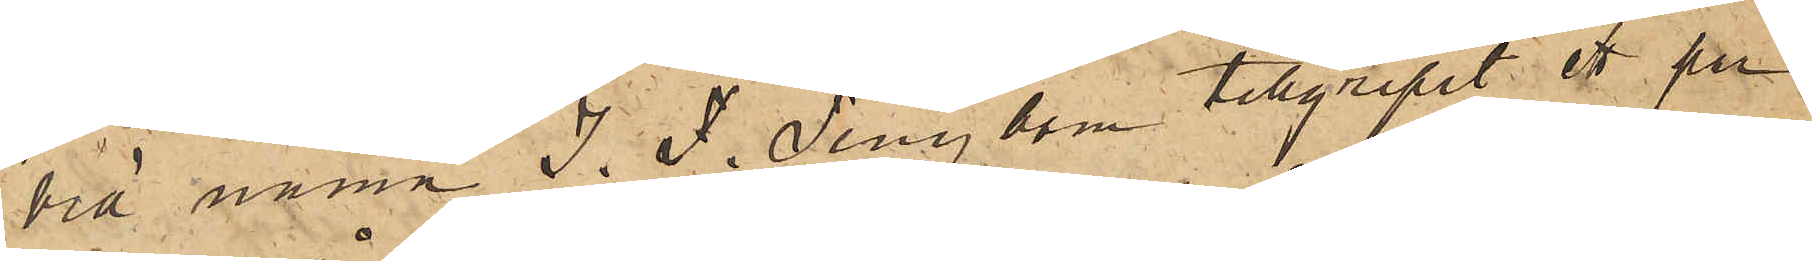vid namn J. F. Tengbom tillgripit ett par
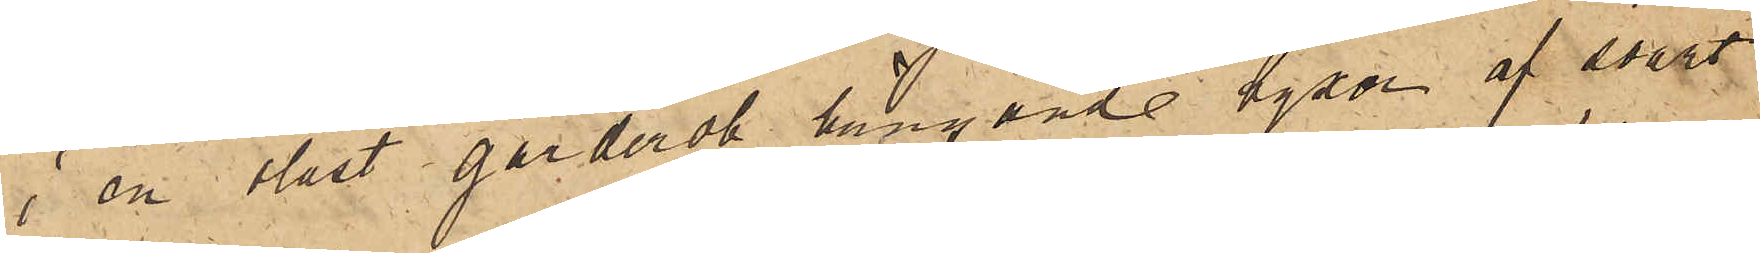i en olåst garderob hängande byxor af svart
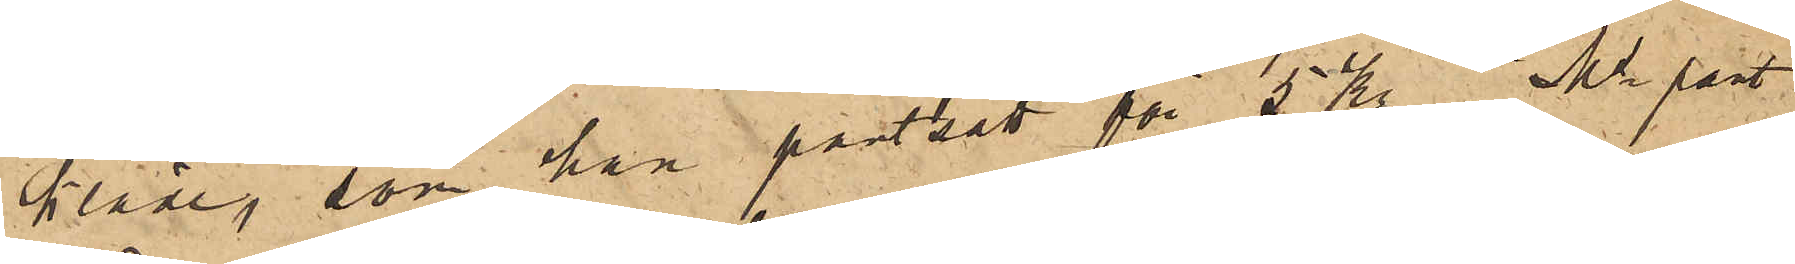kläde, som han pantsatt för 5 kr i  Ms pant¬
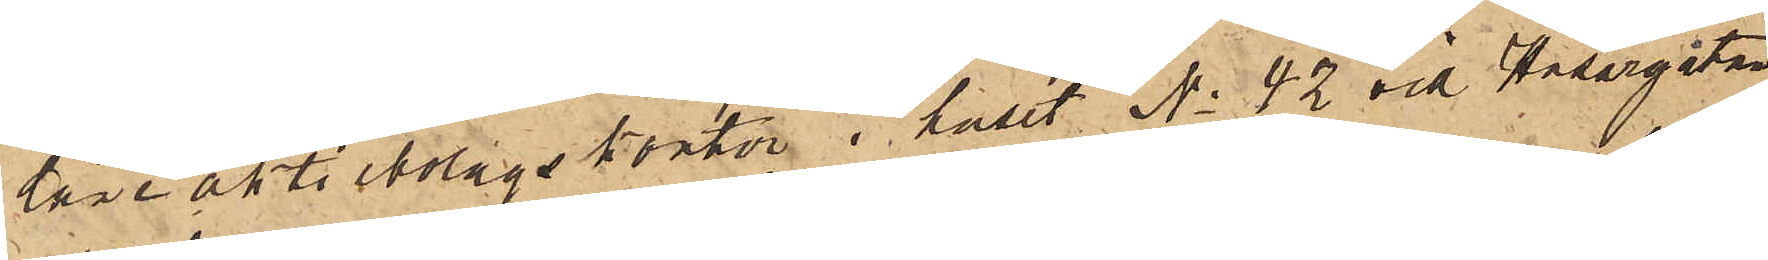låneaktiebolags kontor i huset No 42 vid Husargatan;
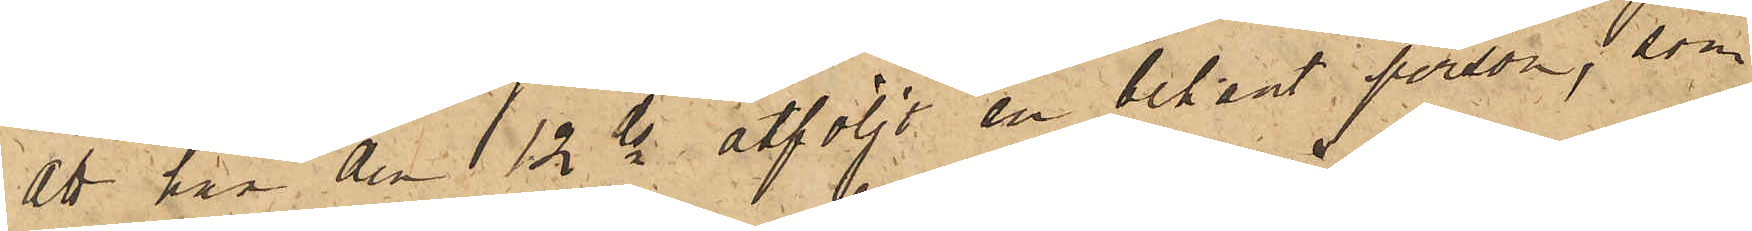att han den 12 ds åtföljt en bekant person, som
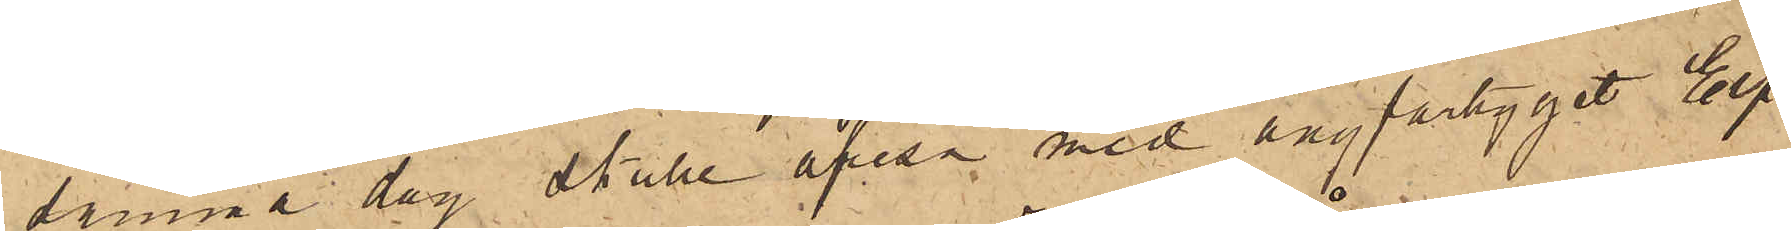samma dag skulle afresa med ångfartyget Elf¬
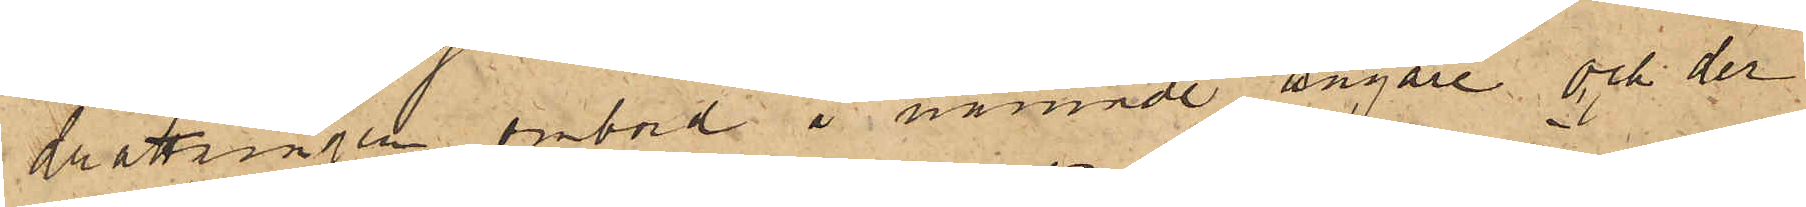drottningen ombord å nämnde ångare och der
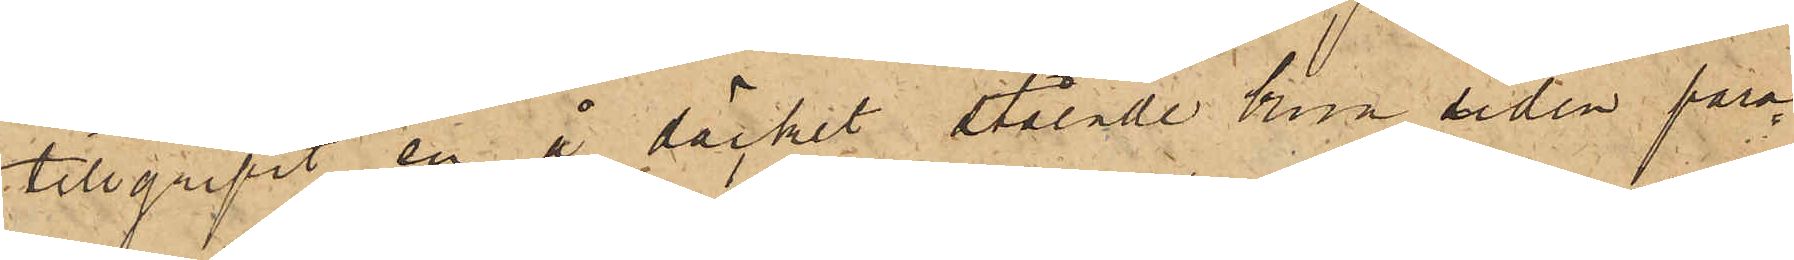tillgripit en å däcket stående brun sidenpara¬
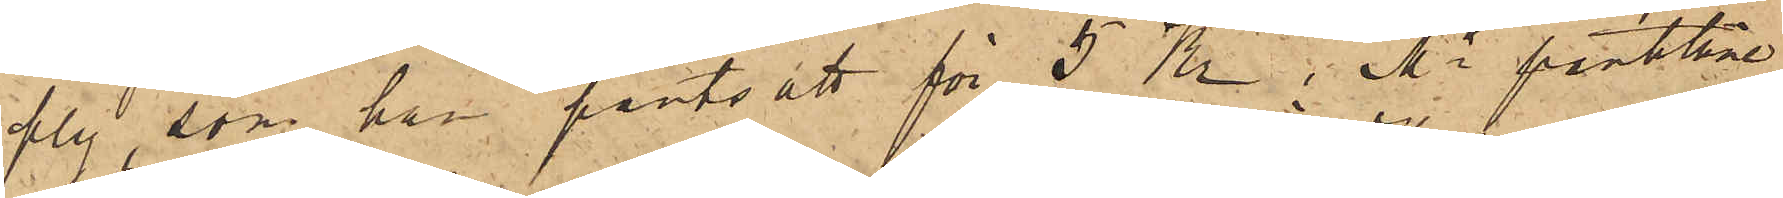ply, som han pantsatt för 5 Kr i Ms pantlåne¬
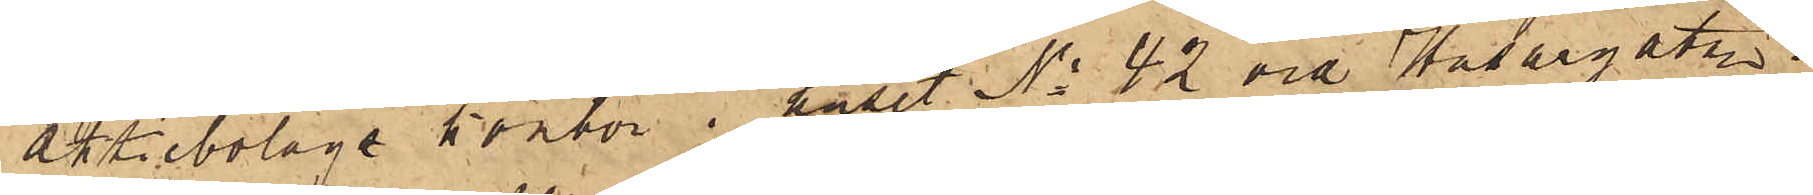aktiebolags kontor i huset No 42 vid Husargatan;
